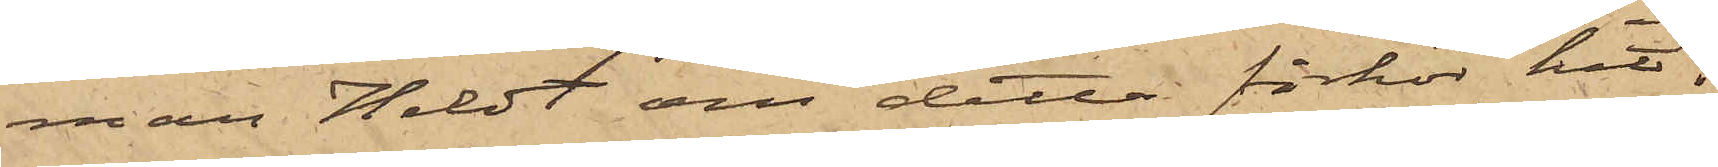man Heldt om detta förhör hit¬
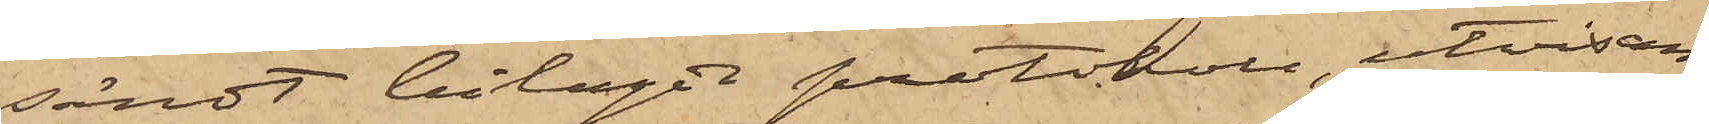sändt bilagdt protokoll, utvisan¬
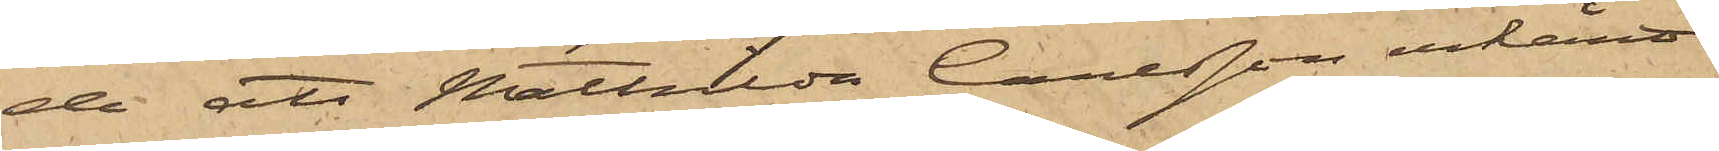de att Mathilda Carlsson erkänt
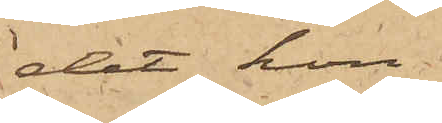det hon
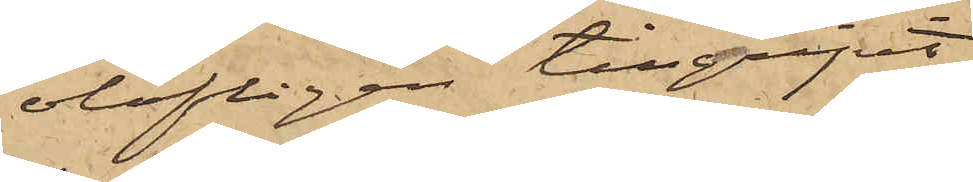olofligen tillgripit
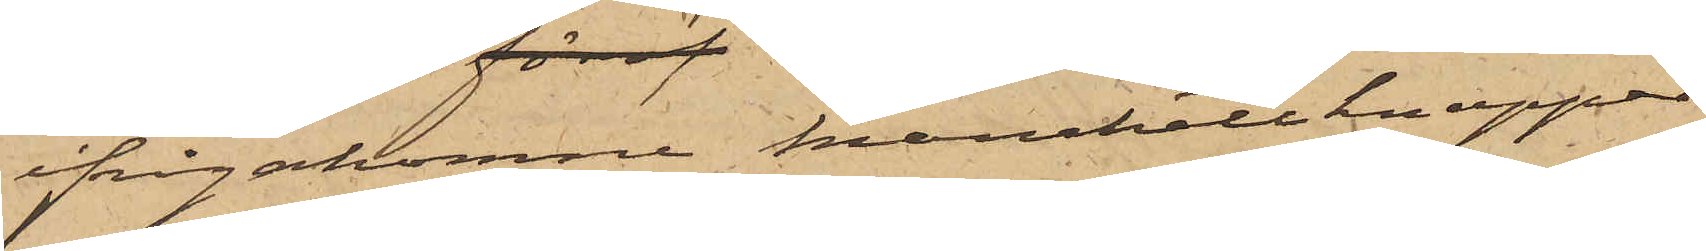ifrågakomne manchettknappar
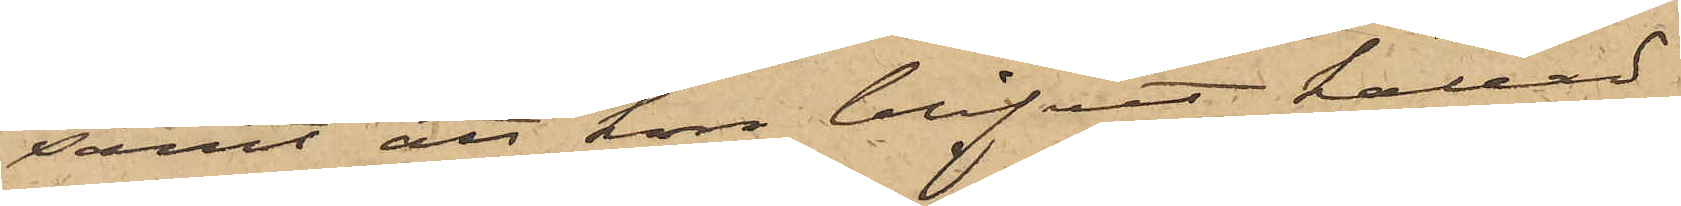samt att hon blifvit kallad
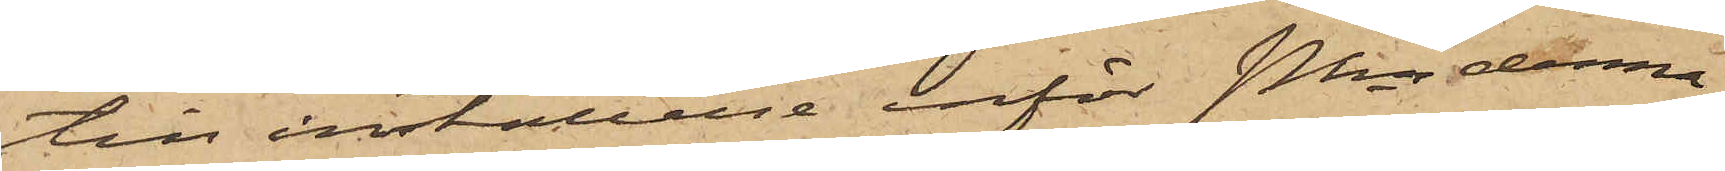till inställelse inför Pkn denna
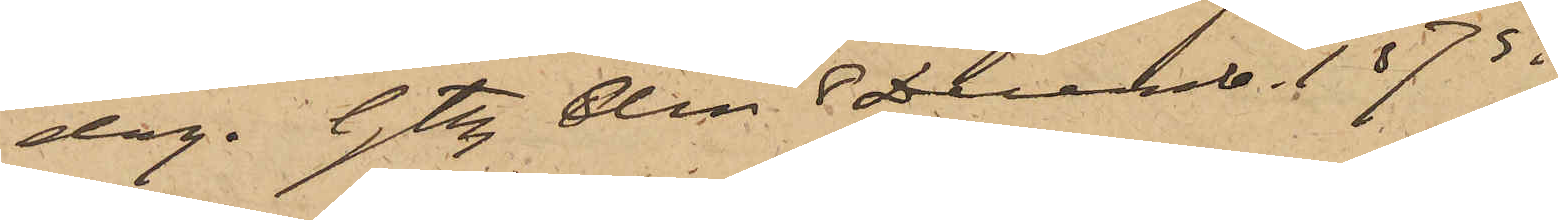dag. Gtbg den 8 Decemb. 1875.
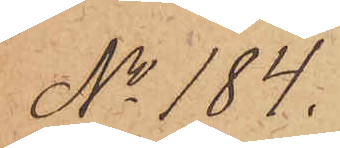No 184.
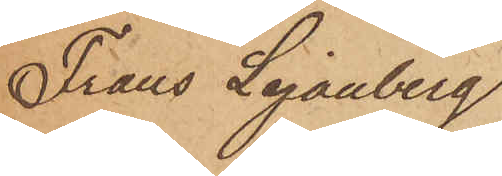Frans Lejonberg
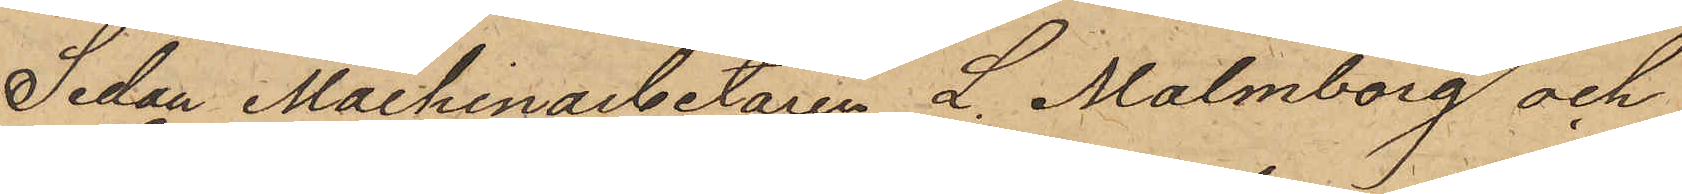Sedan Machinarbetaren L. Malmborg och
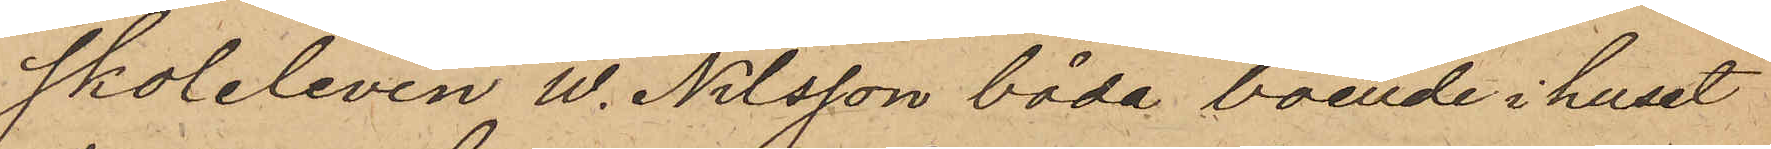skoleleven W. Nilsson båda boende i huset
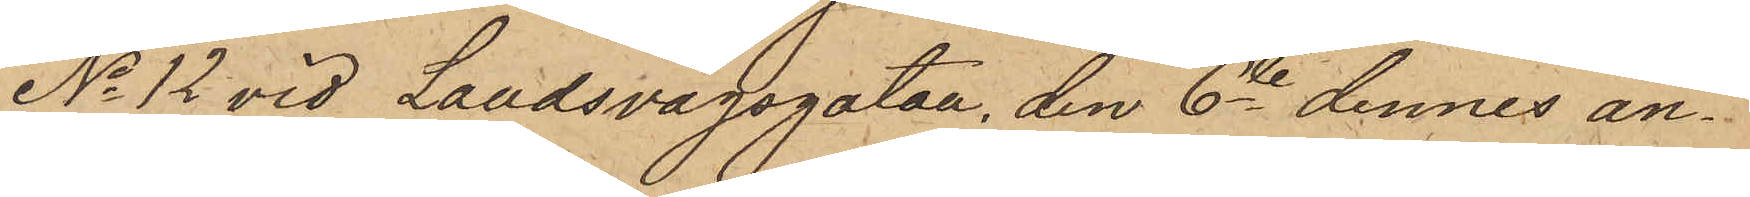No 12 vid Landsvägsgatan, den 6te dennes an¬
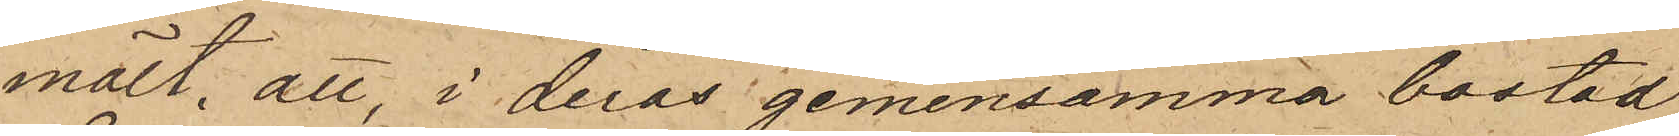mält, att, i deras gemensamma bostad
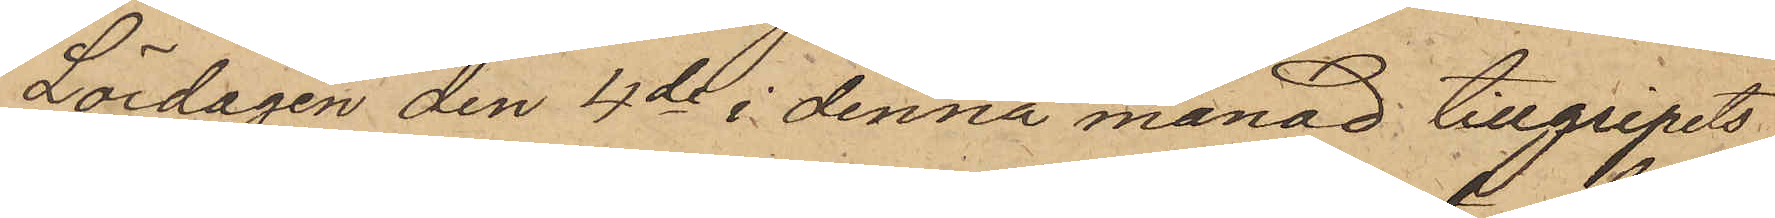Lördagen den 4de i denna månad tillgripits
